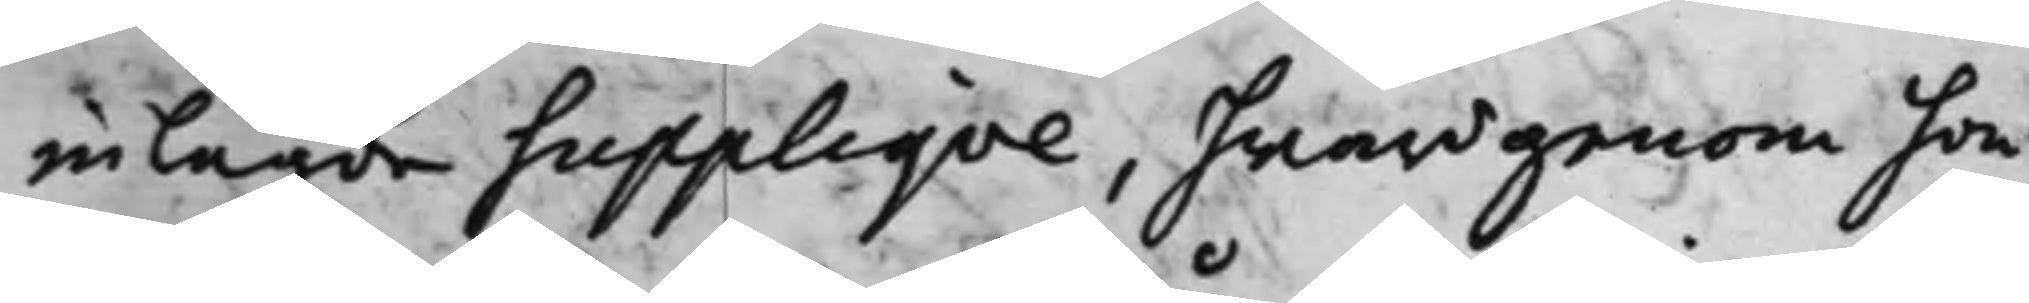inlagde Suppliqve, hwardgenom hon
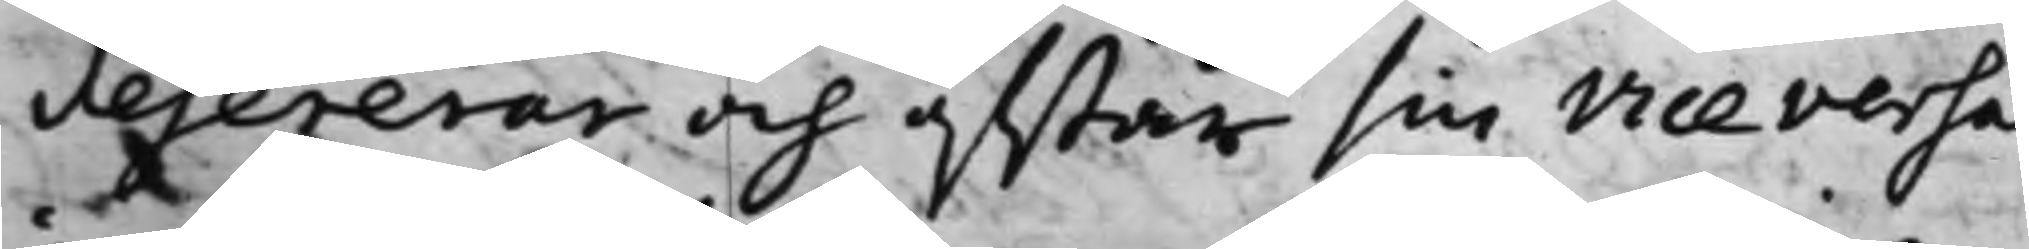defererar och afstår sin vice versa
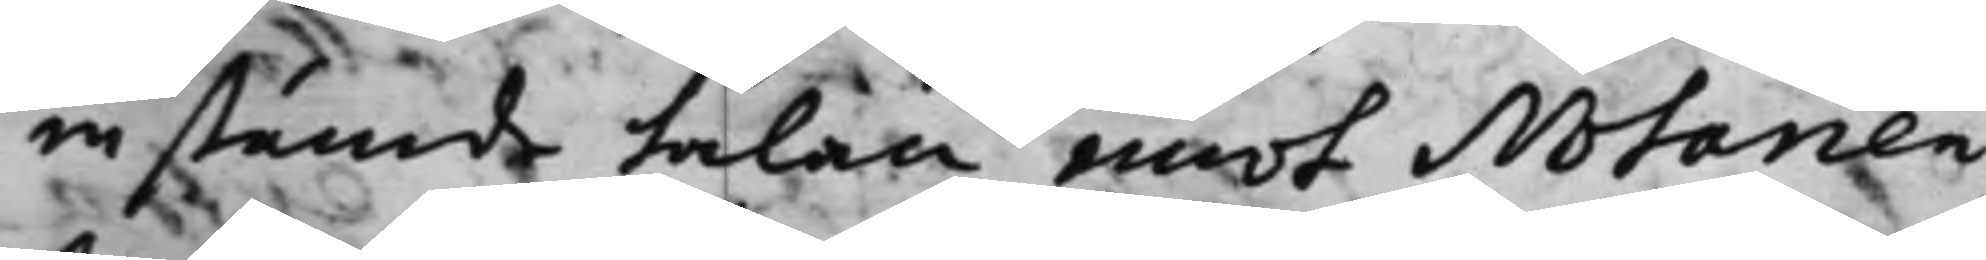in stämde talan emot Notarien
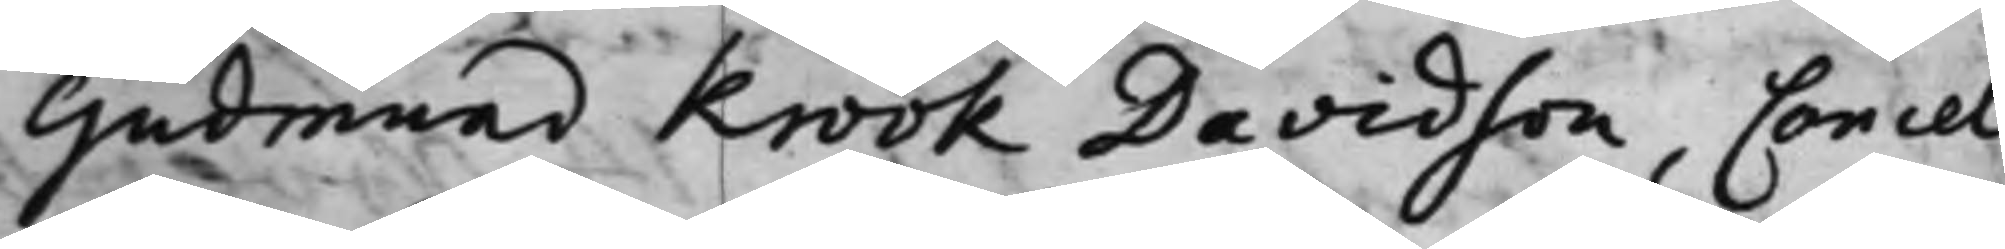Gudmund Krook Davidson, Cancel¬
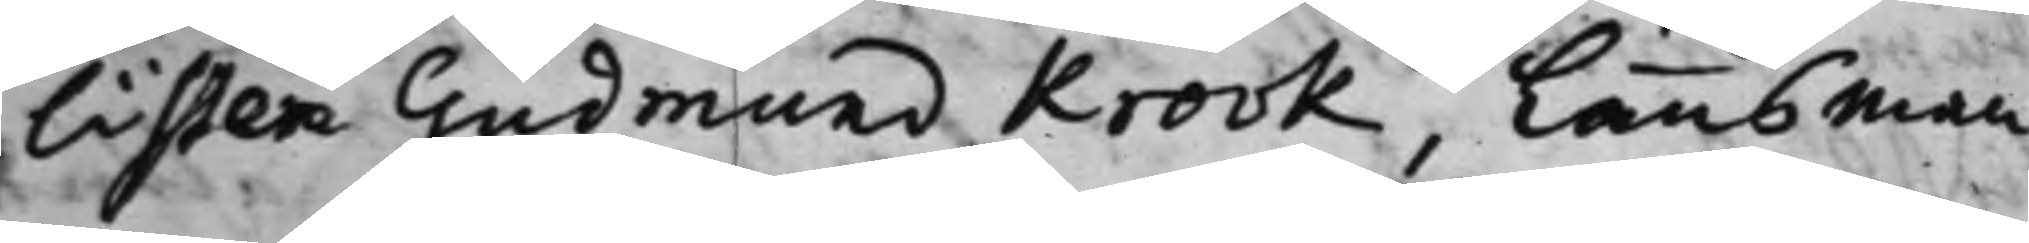listen Gudmund Krook, Länsman¬
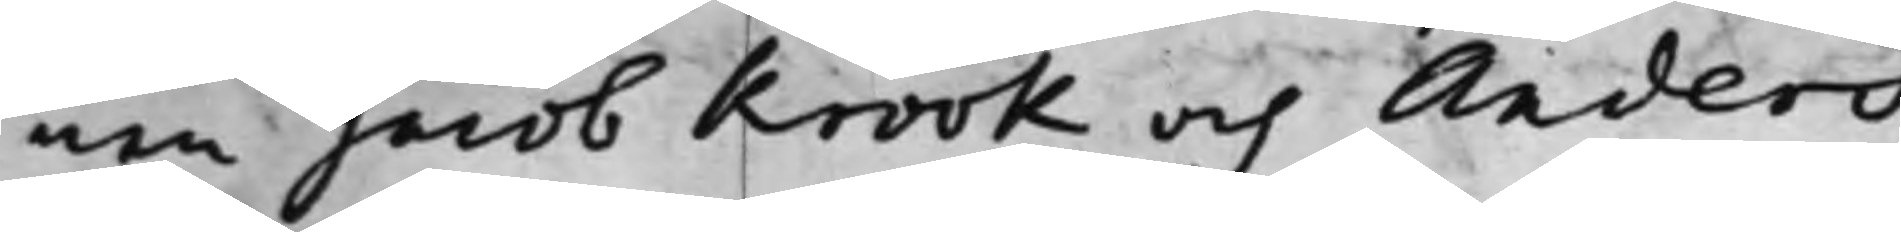nen Jacob Krook och Anders
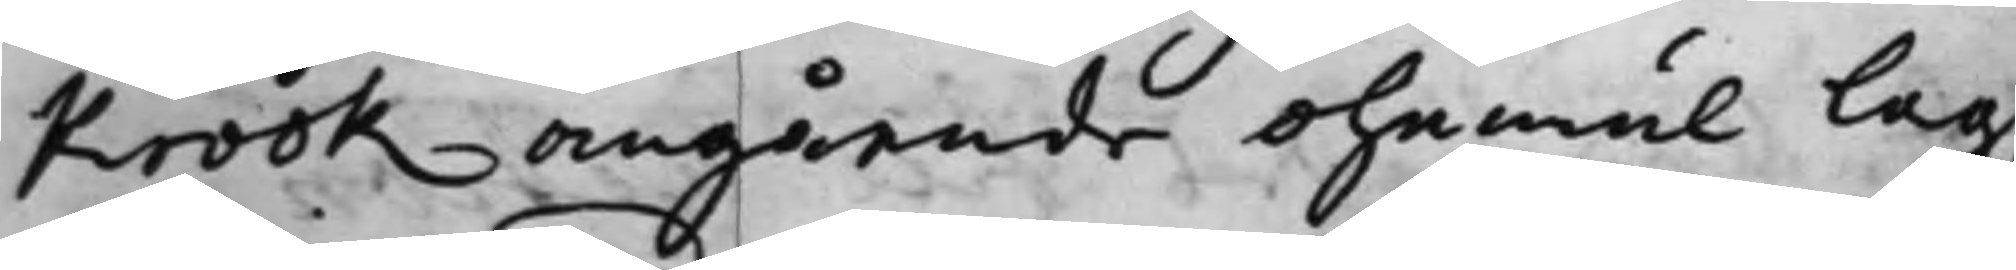Krook angående ohemul lag¬
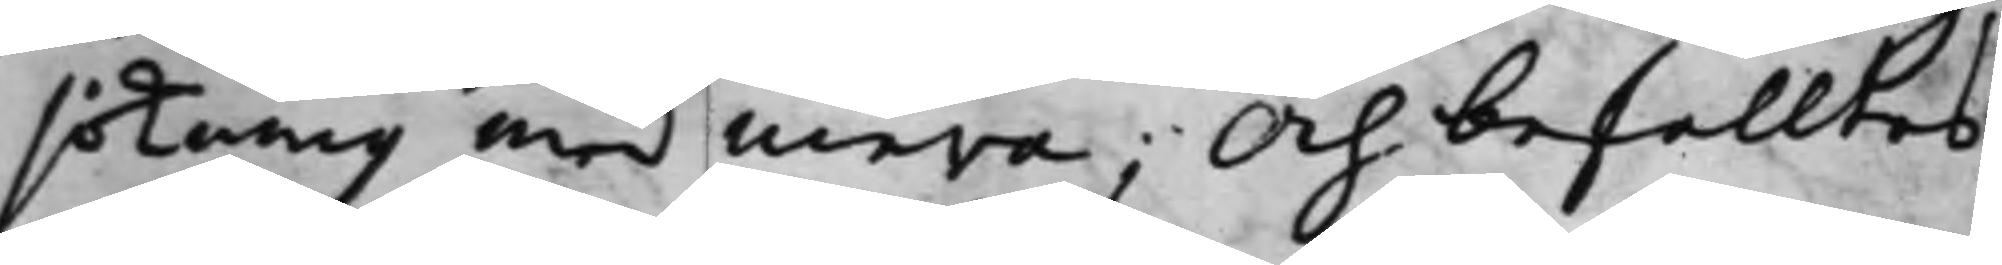sökning med mera; Och befalltes
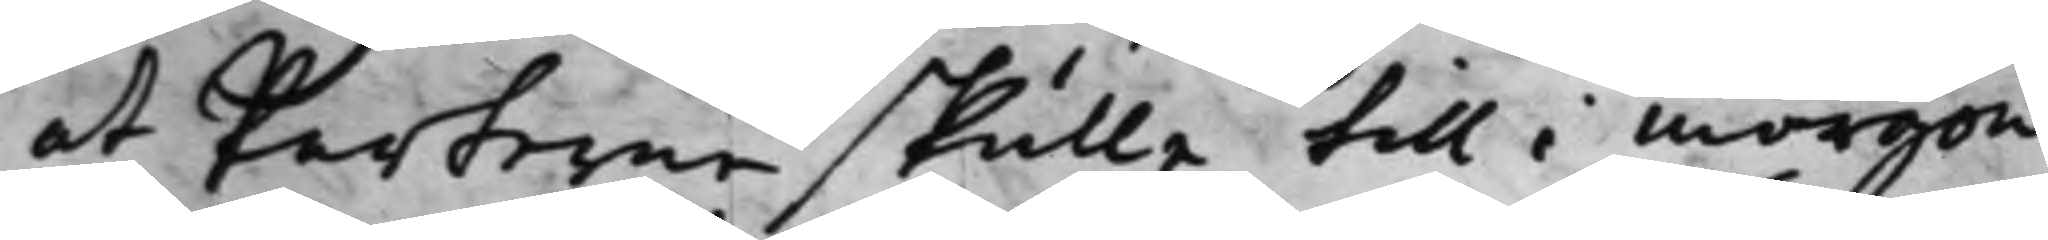at Parterne skulle till i morgon
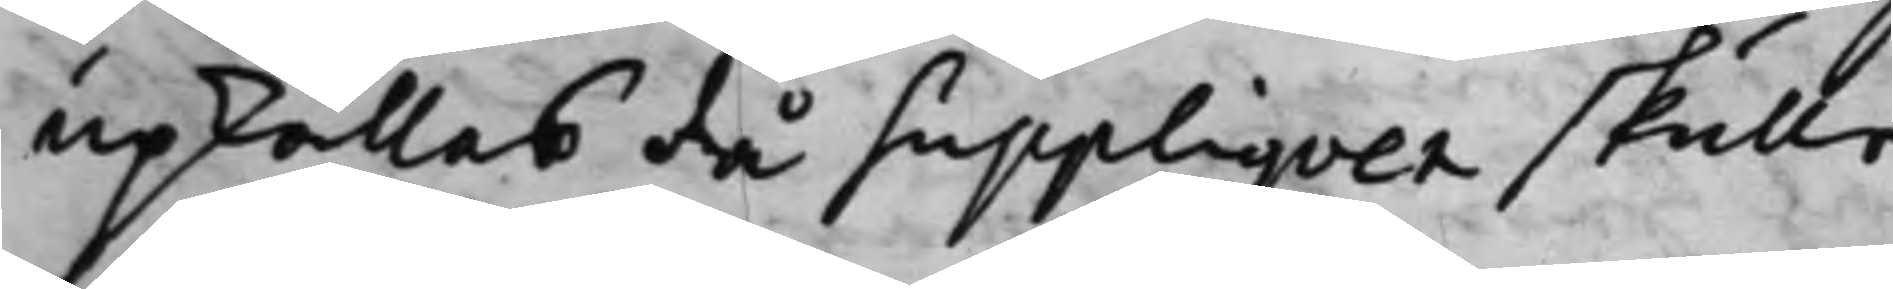upkallas då Suppliqven skulle
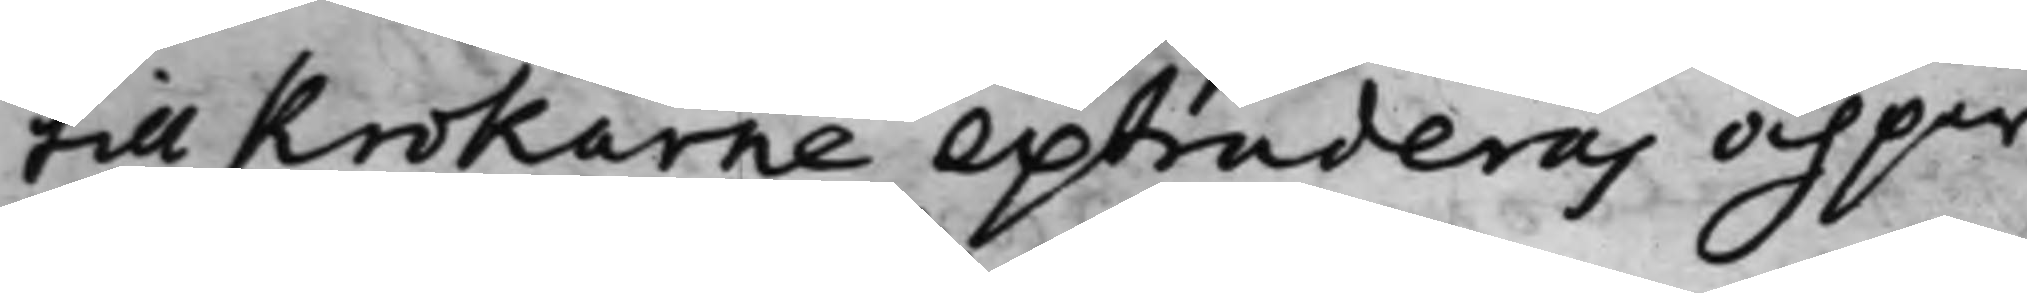till Krokarne extraderas och par¬
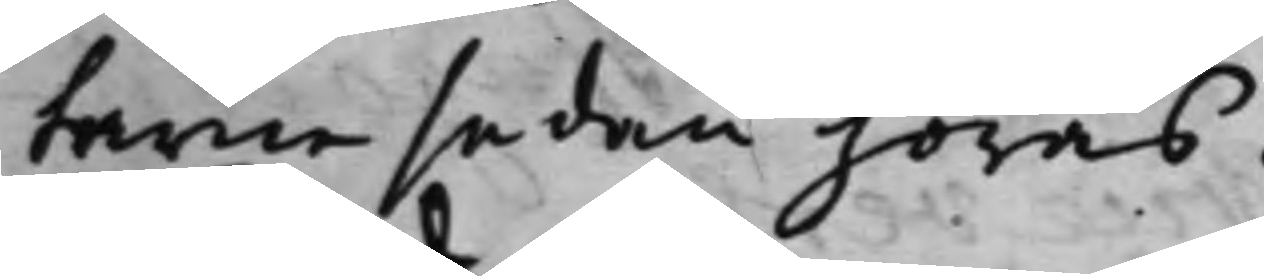tarne sedan höras.
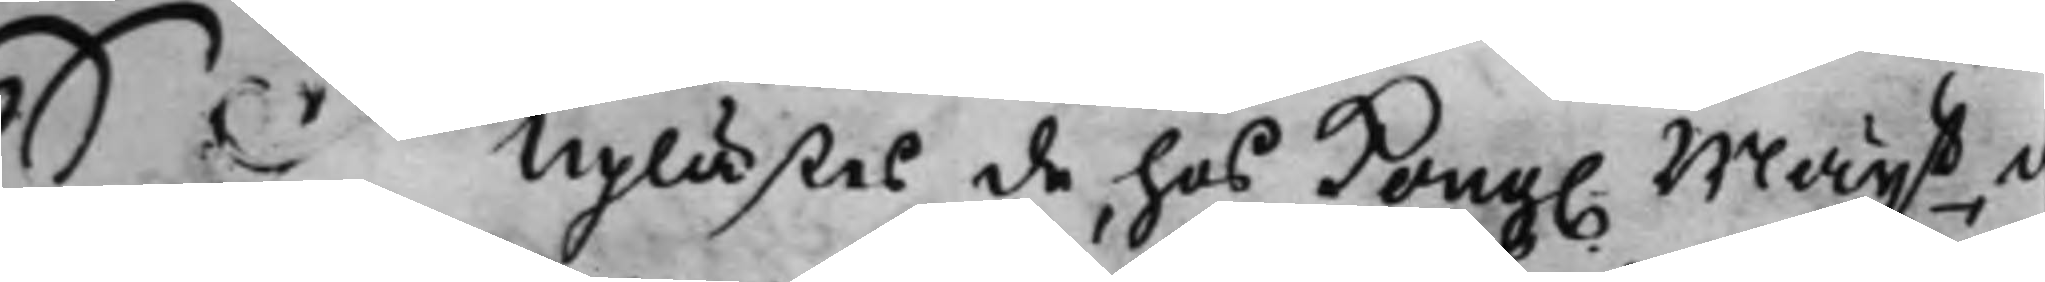S. d. Uplästes de hos Kong. Maijt, d
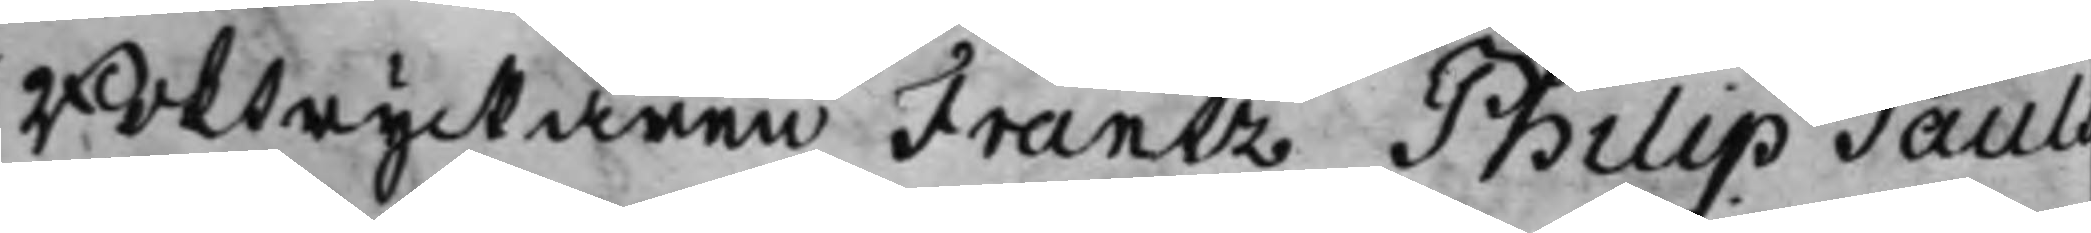Boktryckaren Frantz Philip Pauls
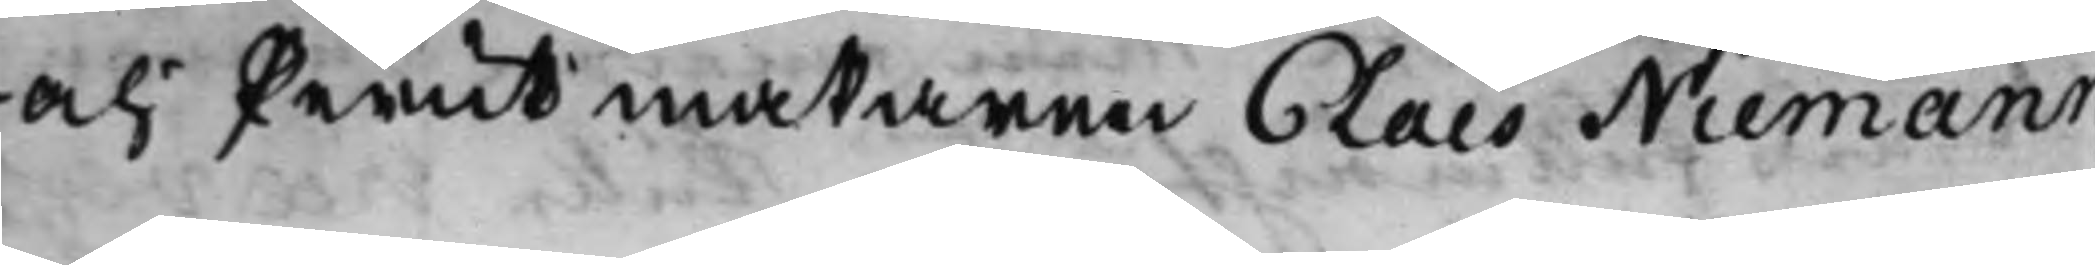och Perukmakaren Claes Niemann
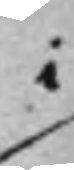i
